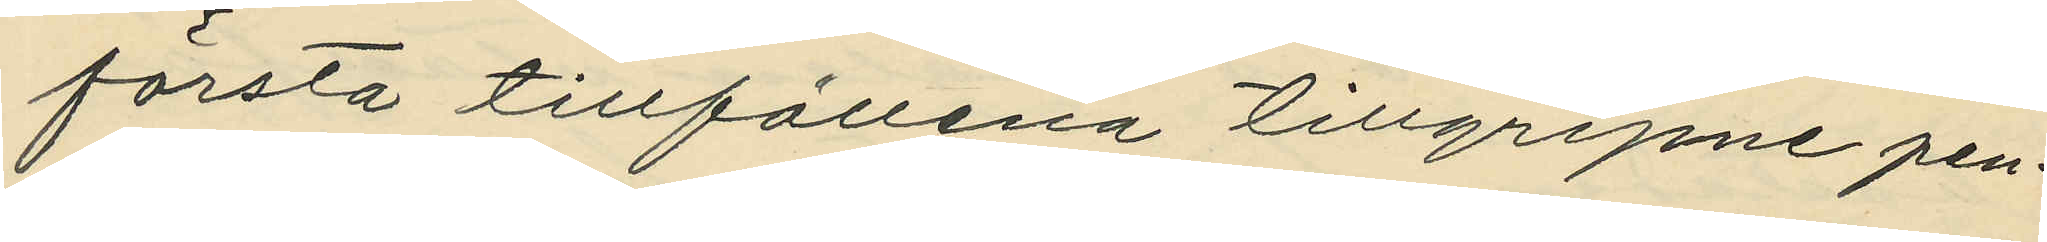första tillfällena tillgripne pen¬
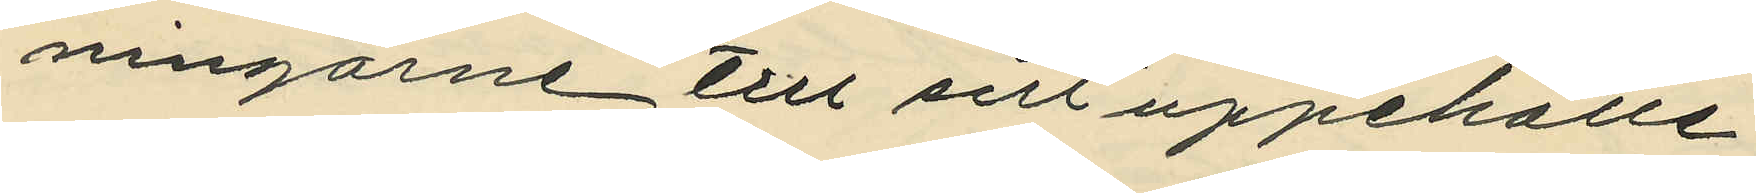ningarne till sitt uppehälle,
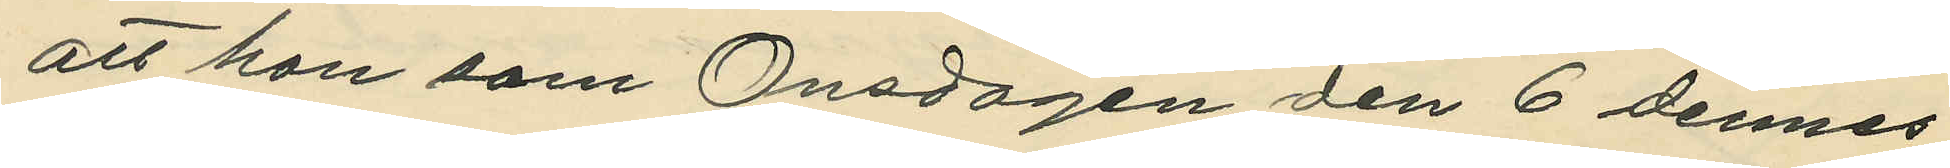att hon som Onsdagen den 6 dennes
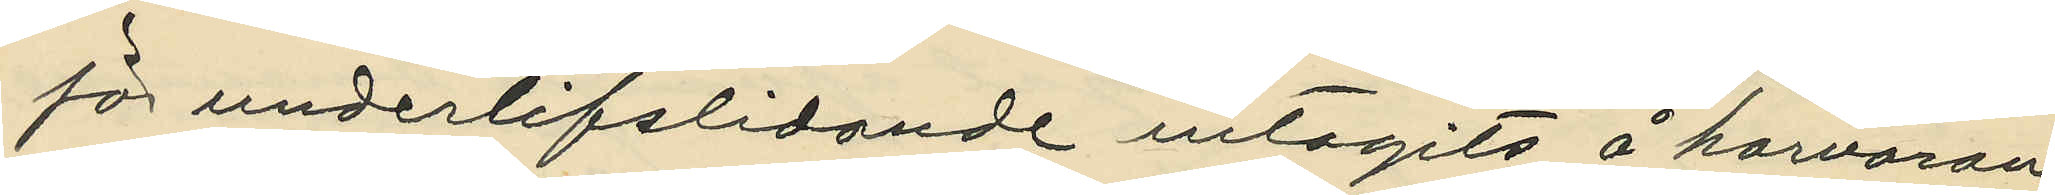för underlifslidande intagits å harvaran¬
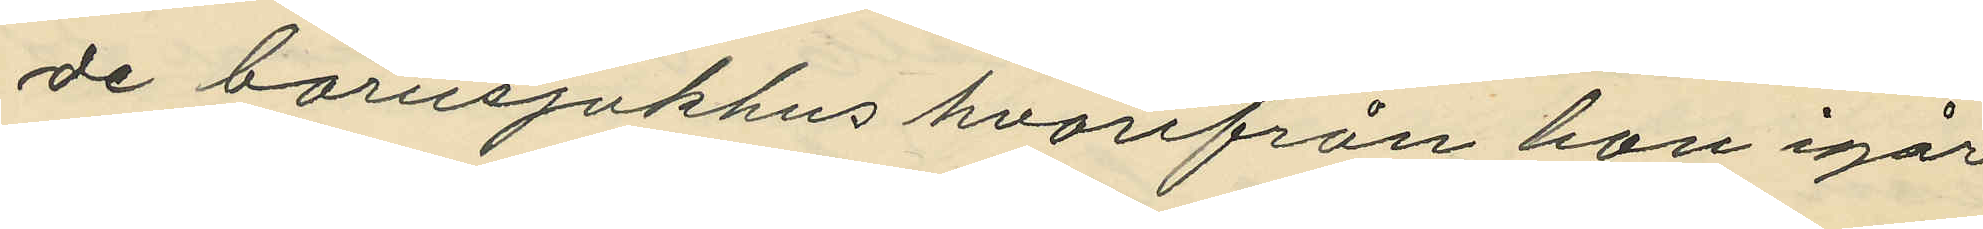de barnsjukhus hvarifrån hon igår
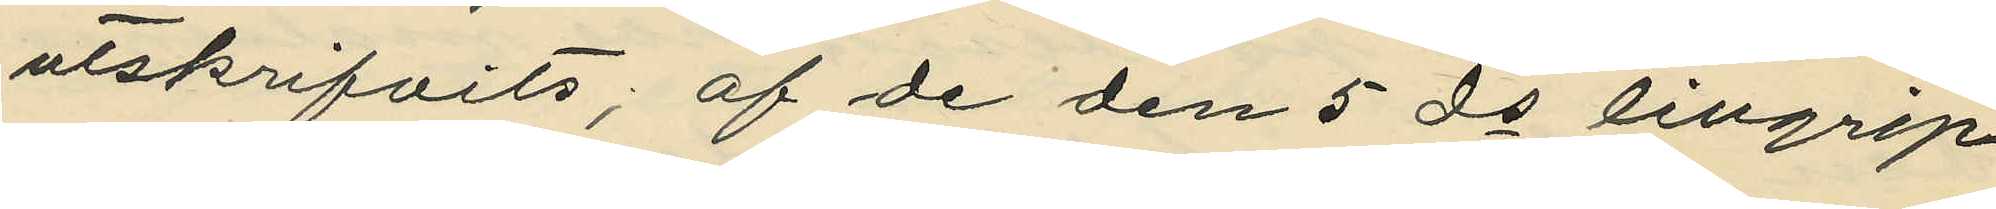utskrifvits; af de den 5 ds tillgrip¬
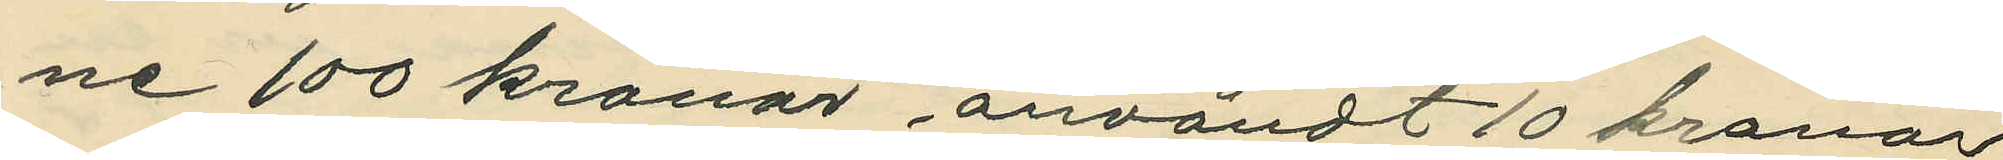ne 100 kronor användt 10 kronor
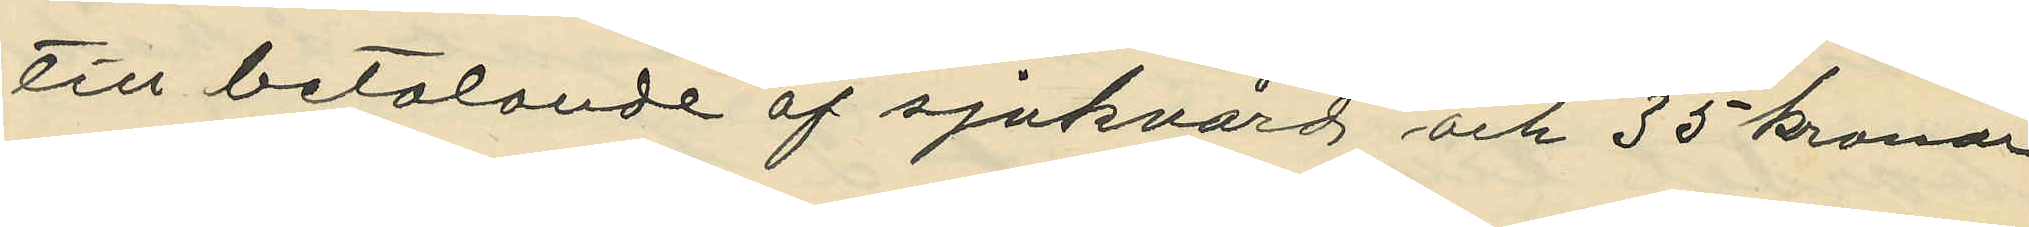till betalande af sjukvård och 35 kronor
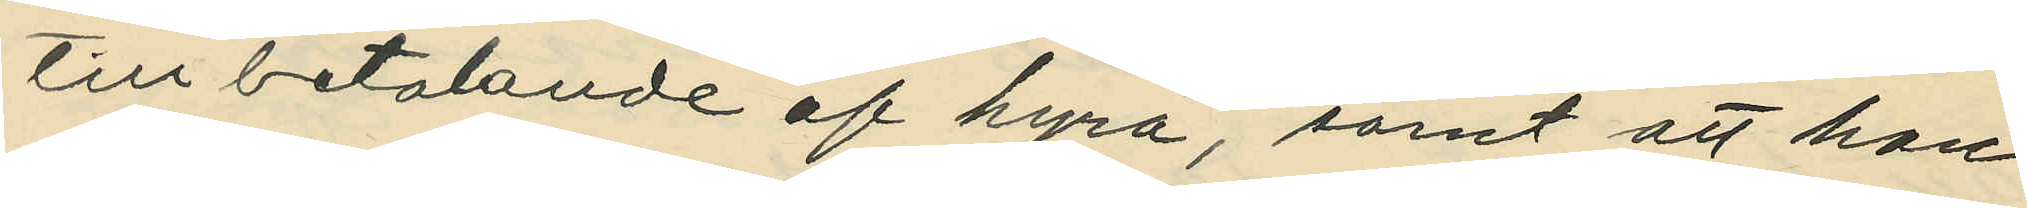till betalande af hyra, samt att hon
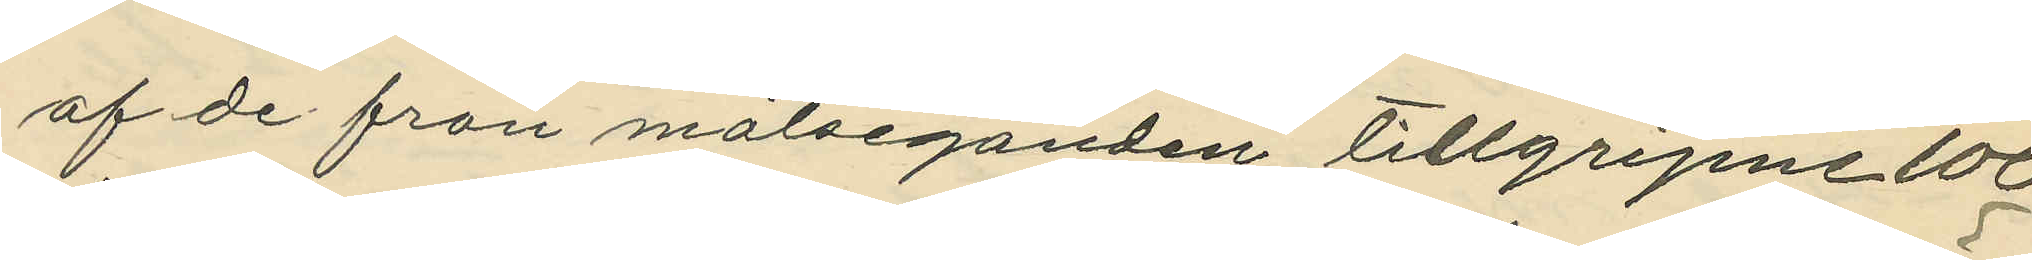af de från målseganden tillgripne 100
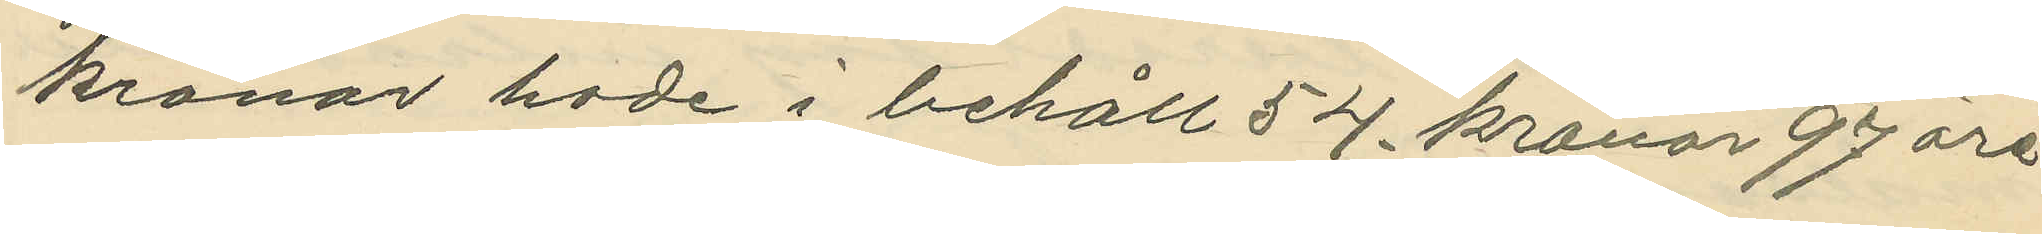kronor hade i behåll 54 kronor 97 öre
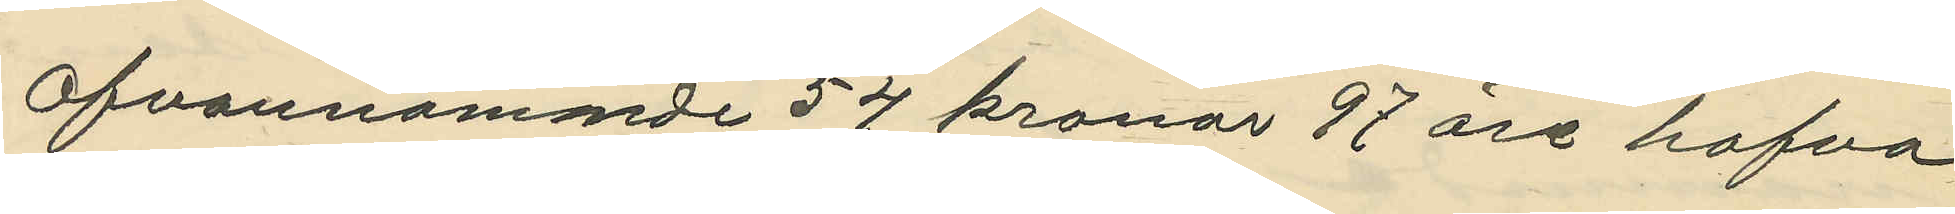Ofvannämmde 54 kronor 97 öre hafva
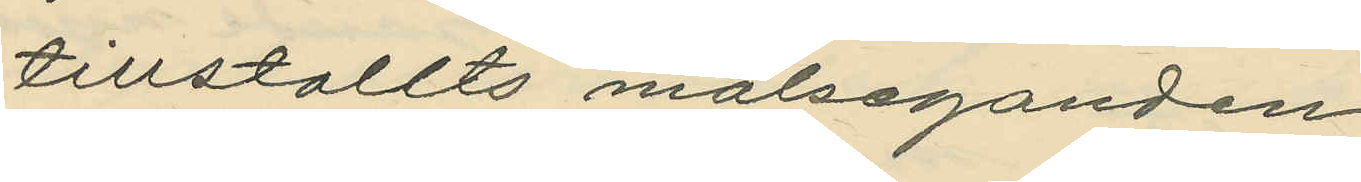tillstallts målseganden
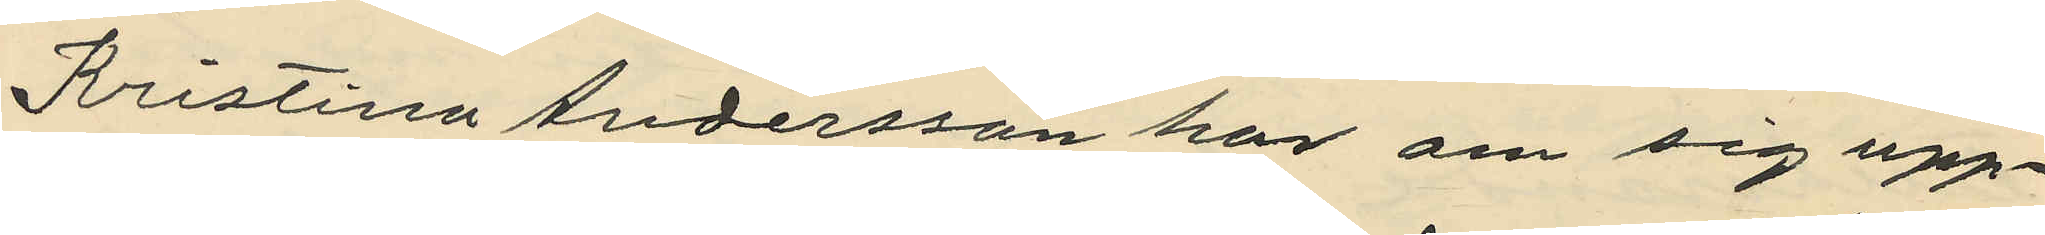Kristina Andersson har om sig upp¬
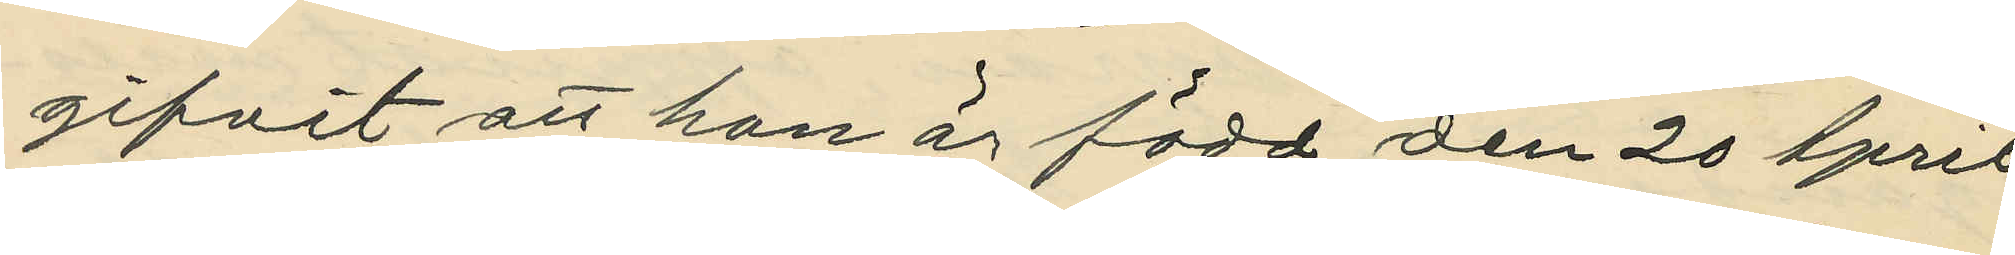gifvit att hon är född den 20 April
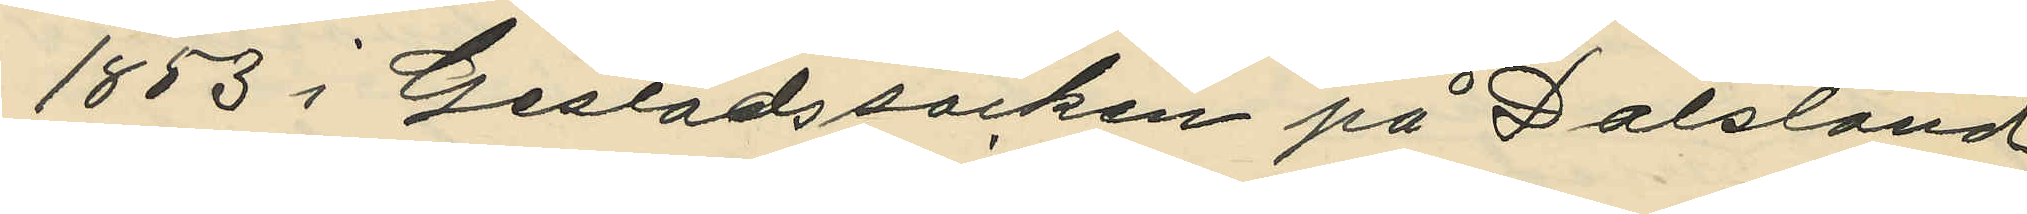1853 i Gestads socken på Dalsland,
